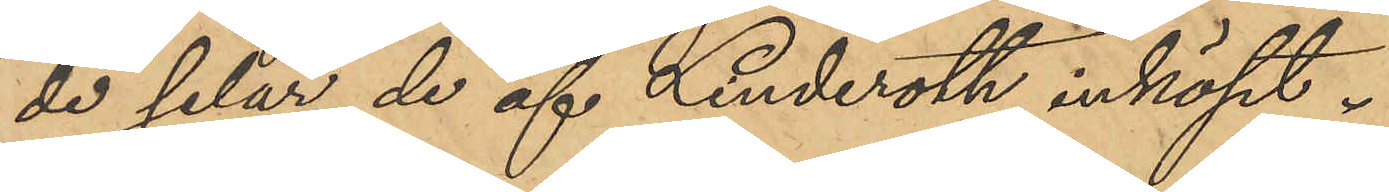de selar de af Linderoth inköpt.
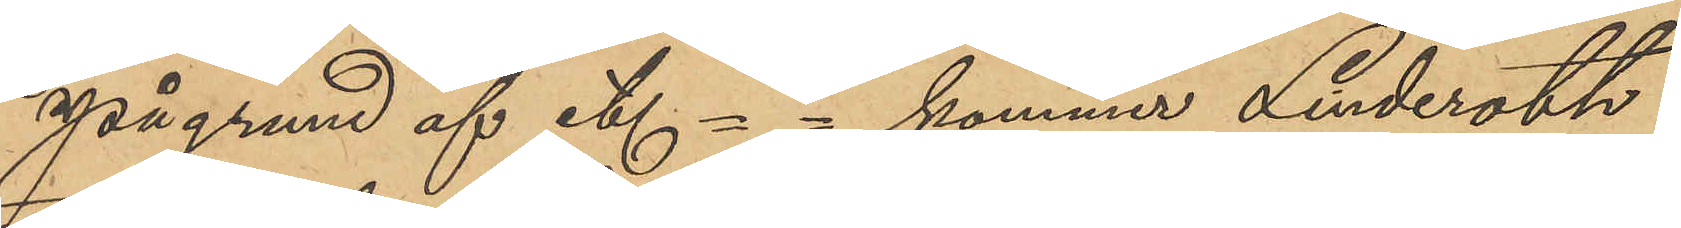På grund af etc- - kommer Linderoth
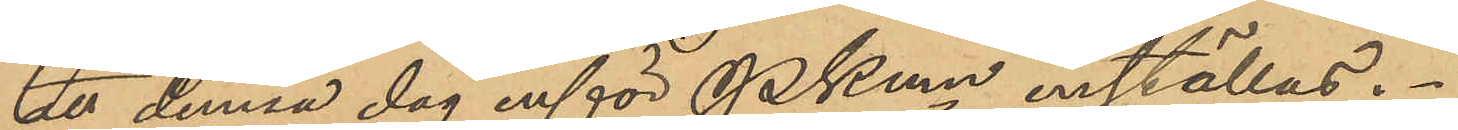att denna dag inför Pkmn inställas.
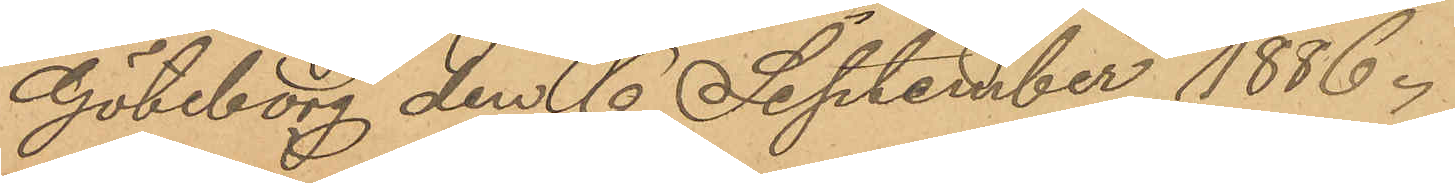Göteborg den 6 September 1886.
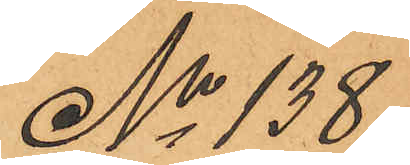No 138
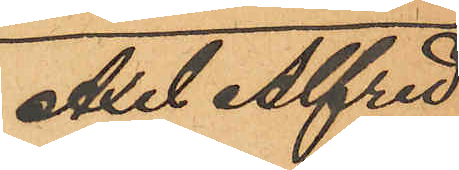Axel Alfred
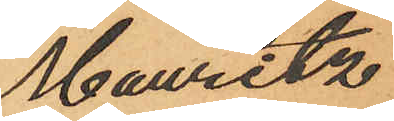Mauritz
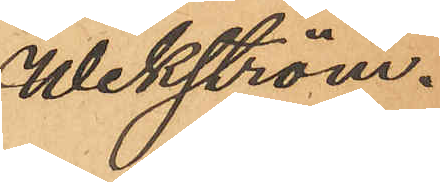Wikström.
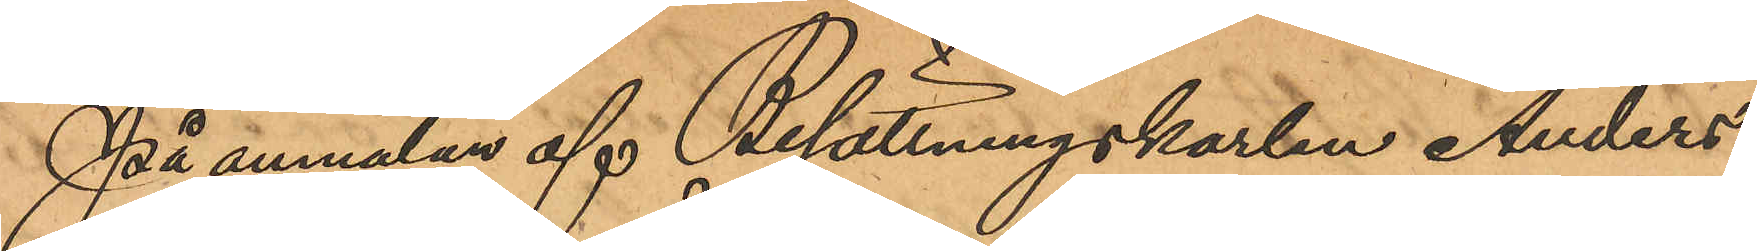På anmälan af Besättningskarlen Anders
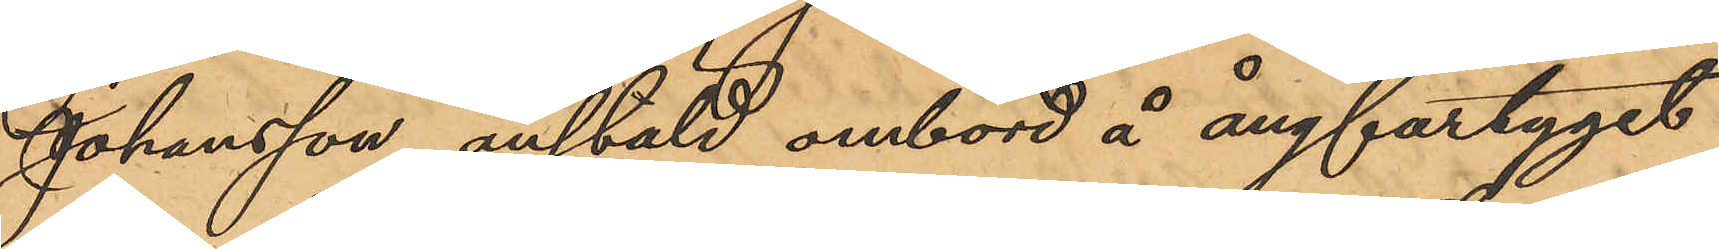Johansson, anstäld ombord å ångfartyget
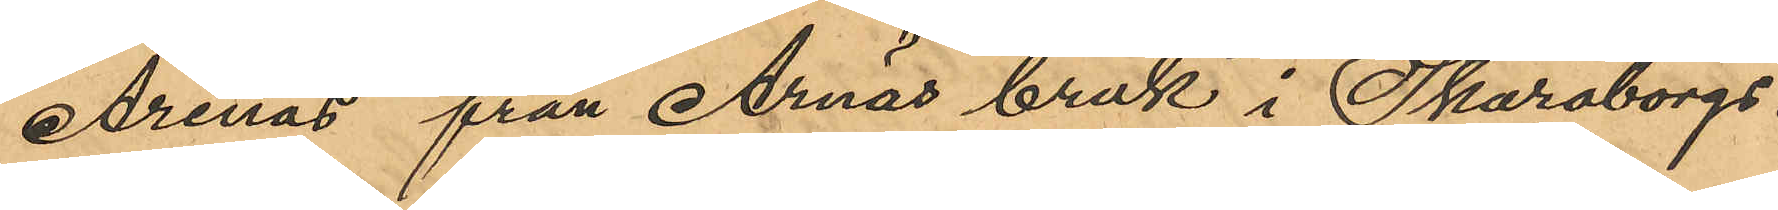"Arenäs" från Arnäs bruk i Skaraborgs
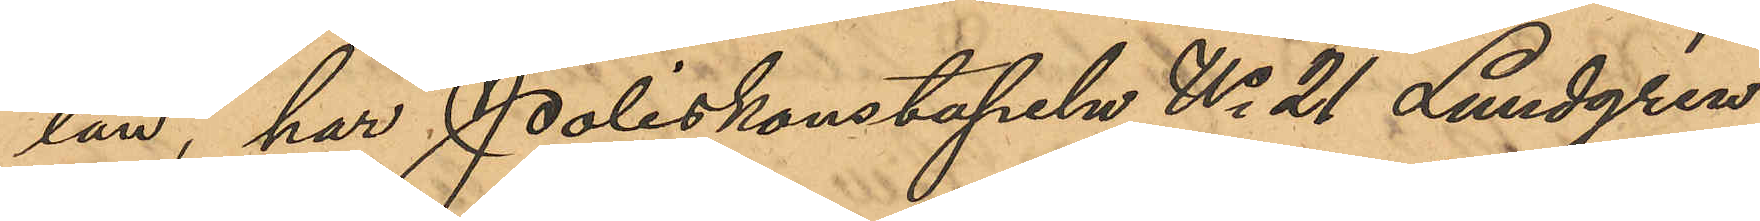län, har Poliskonstapeln No 21 Lundgren
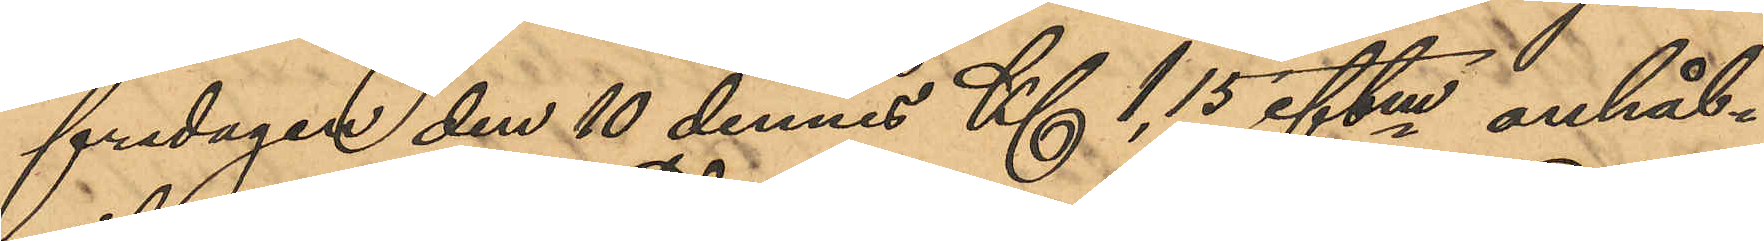fredagen den 10 dennes Kl 1,15 eftm anhål¬
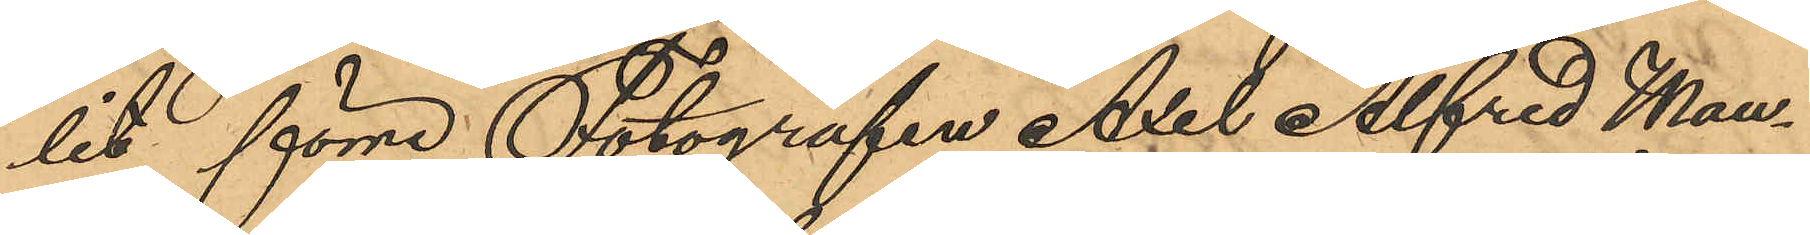lit förre Fotografen Axel Alfred Mau¬
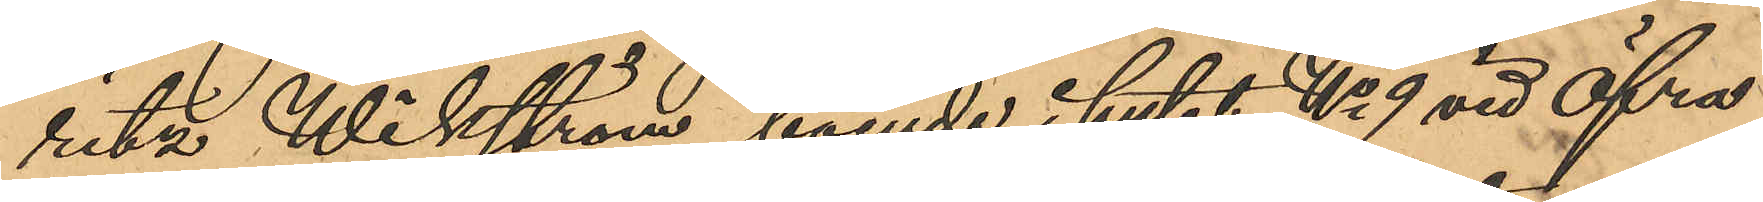ritz Wikström, boende i huset No 9 vid Öfra
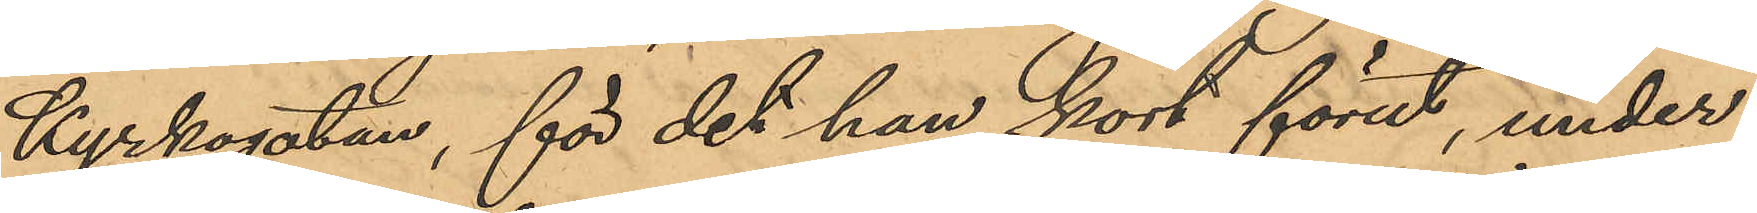Kyrkogatan, för det han kort förut, under
